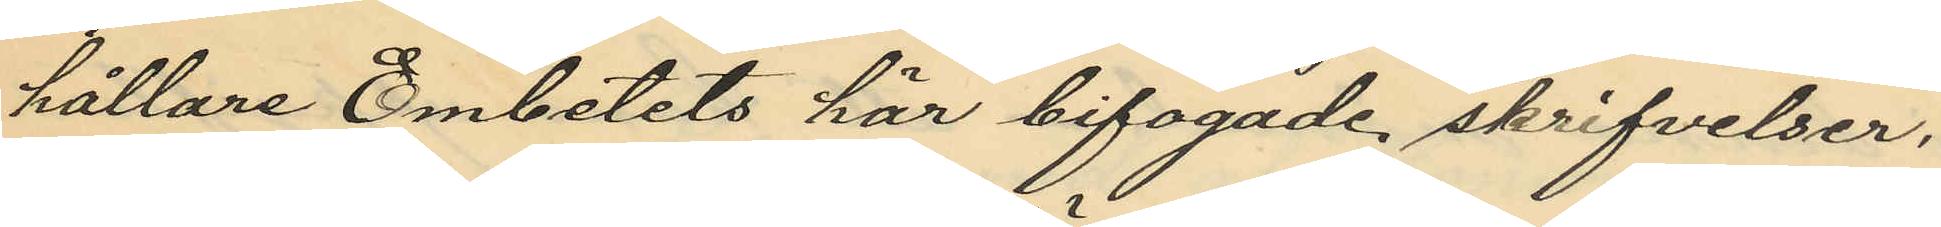hållare Embetets här bifogade skrifvelse,
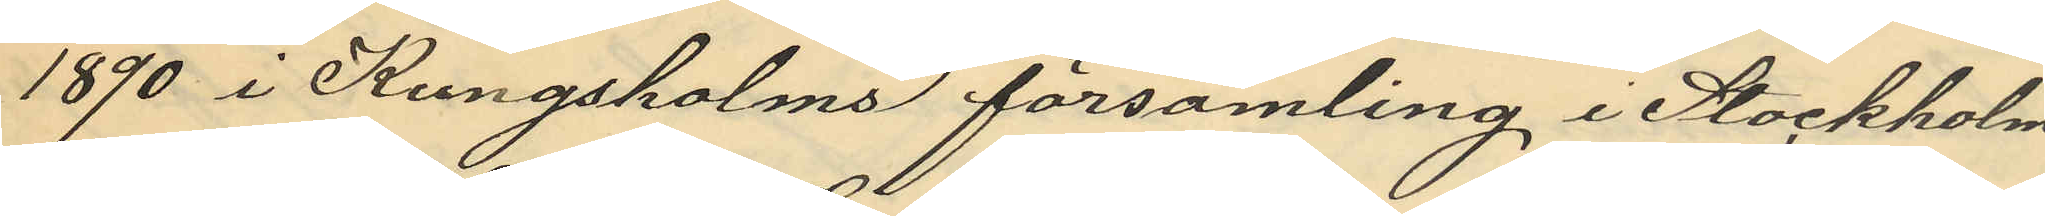1890 i Kungsholms församling i Stockholm
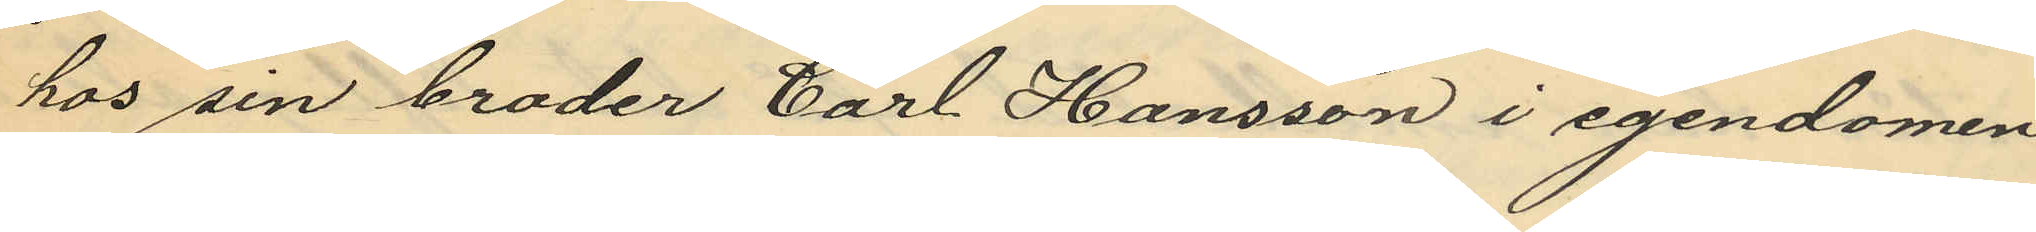hos sin broder Carl Hansson i egendomen
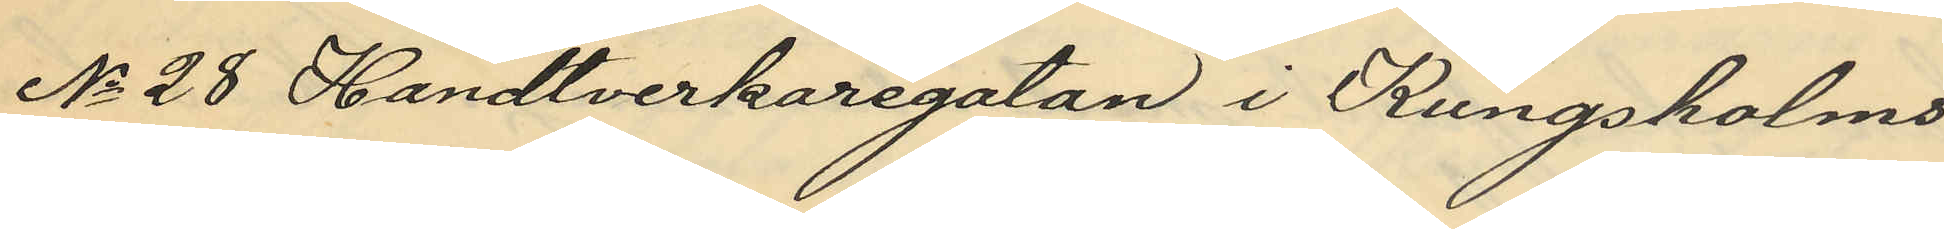No 28 Handtverkargatan i Kungsholms
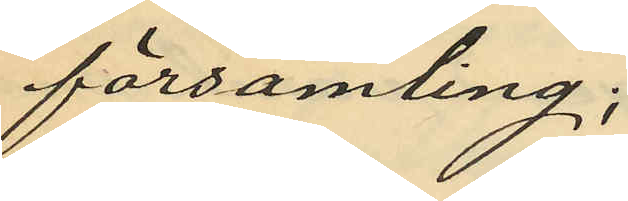församling;
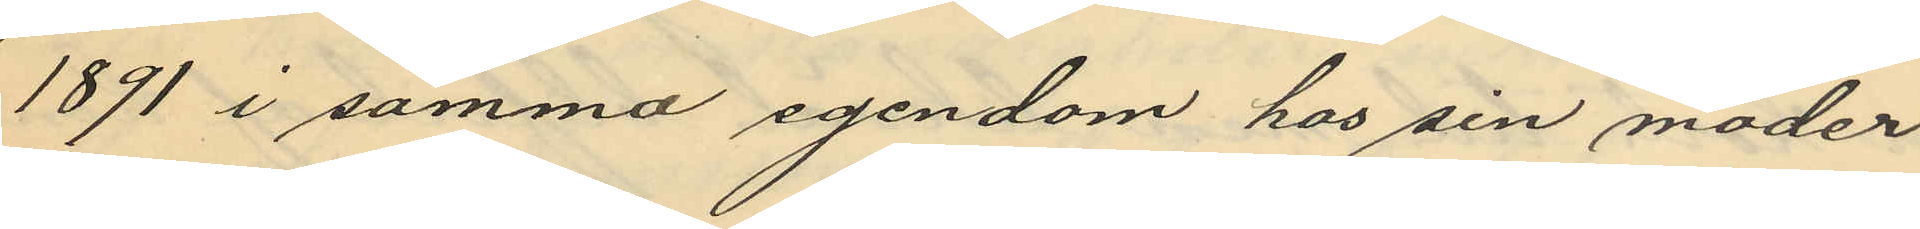1891 i samma egendom hos sin moder
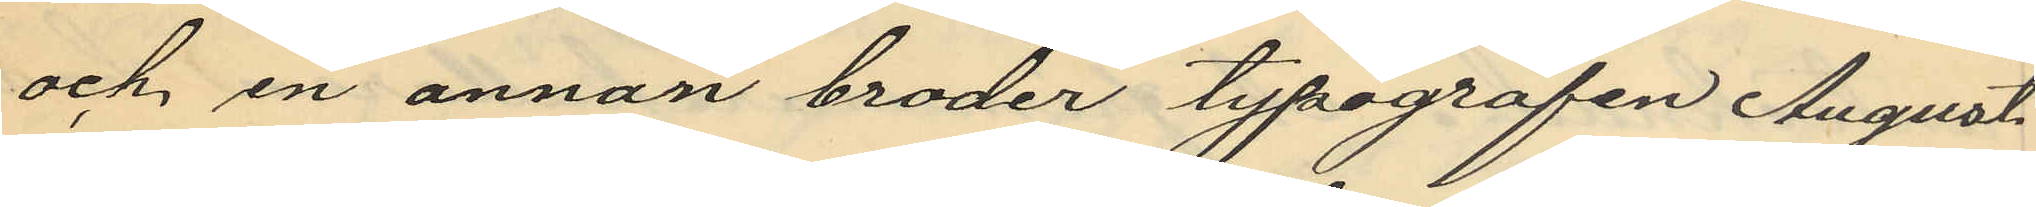och en annan broder typografen August
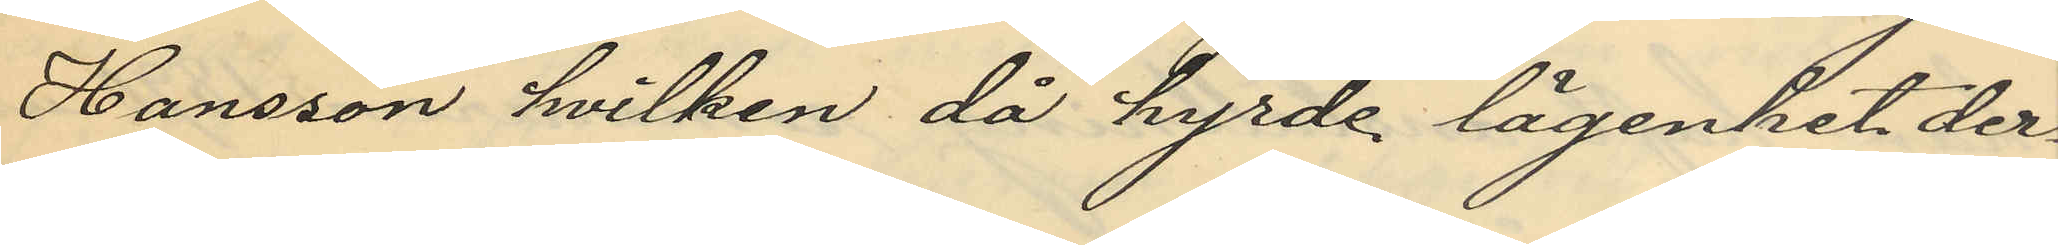Hansson hvilken då hyrde lägenhet der¬
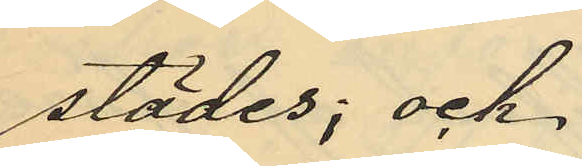städes; och
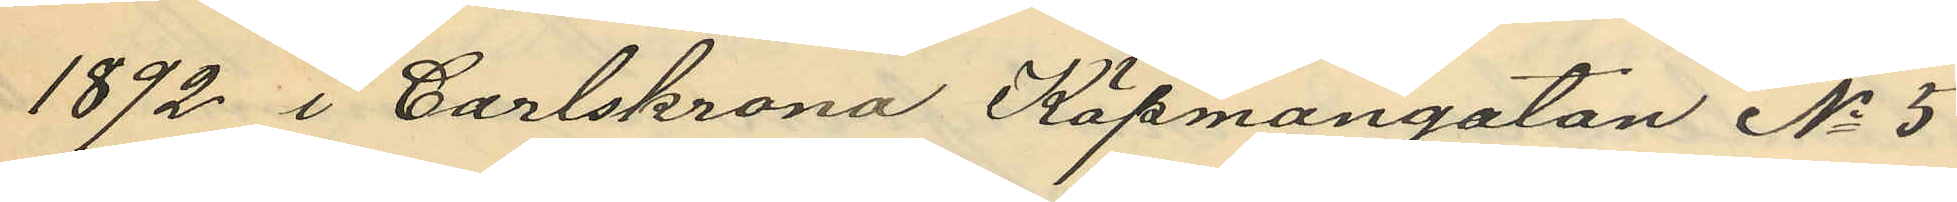1892 i Carlskrona Köpmangatan No 5
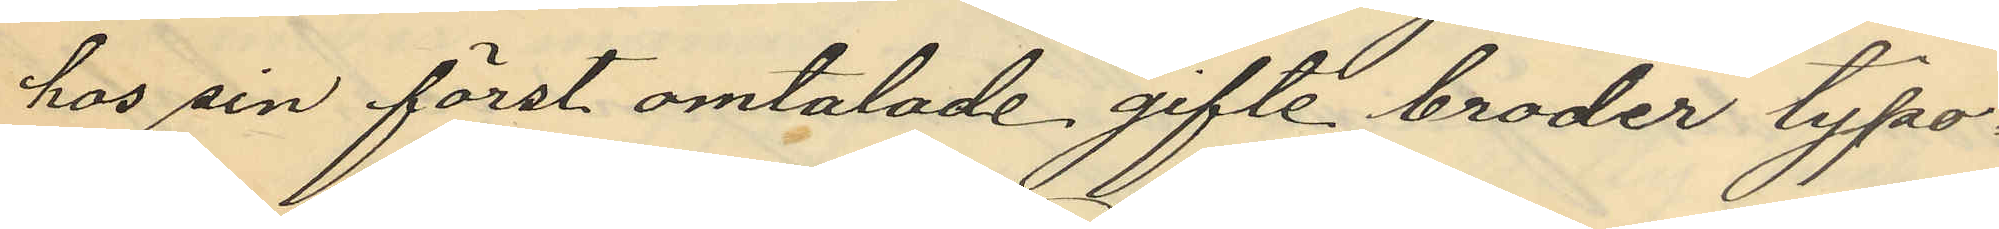hos sin först omtalade gifte broder typo¬
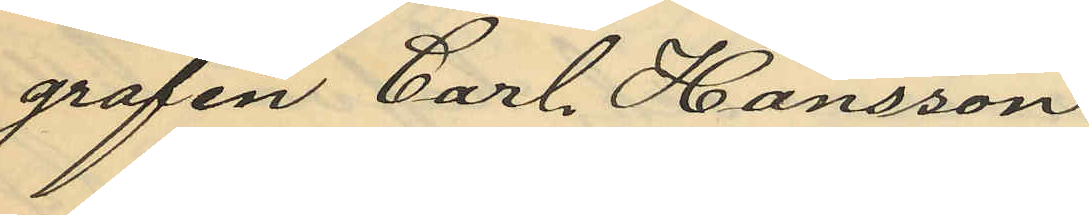grafen Carl Hansson.
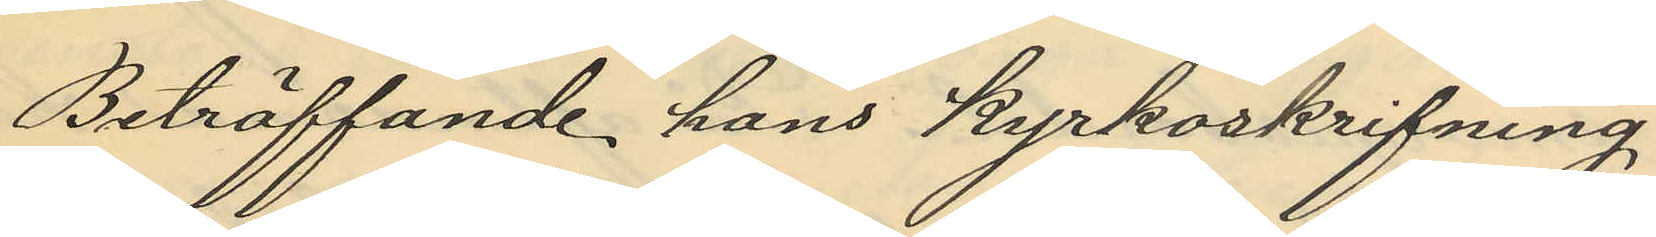Beträffande hans kyrkoskrifning
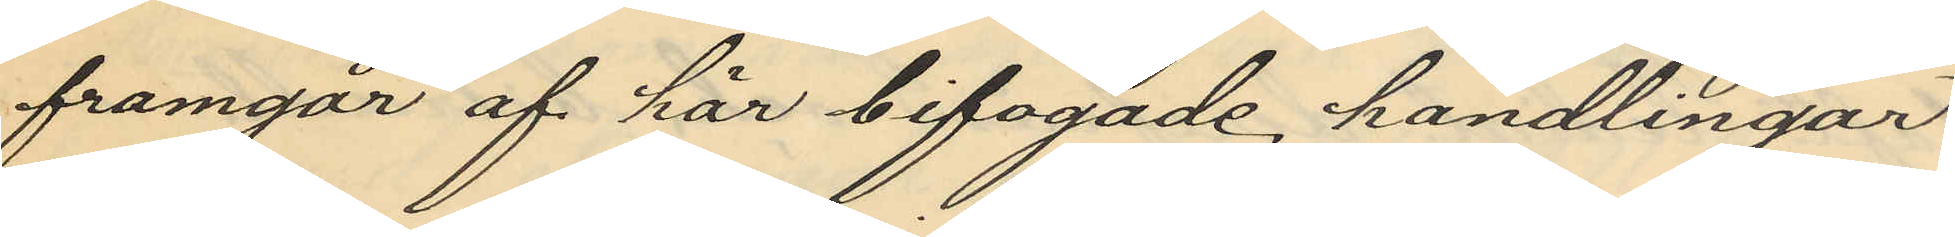framgår af här bifogade handlingar
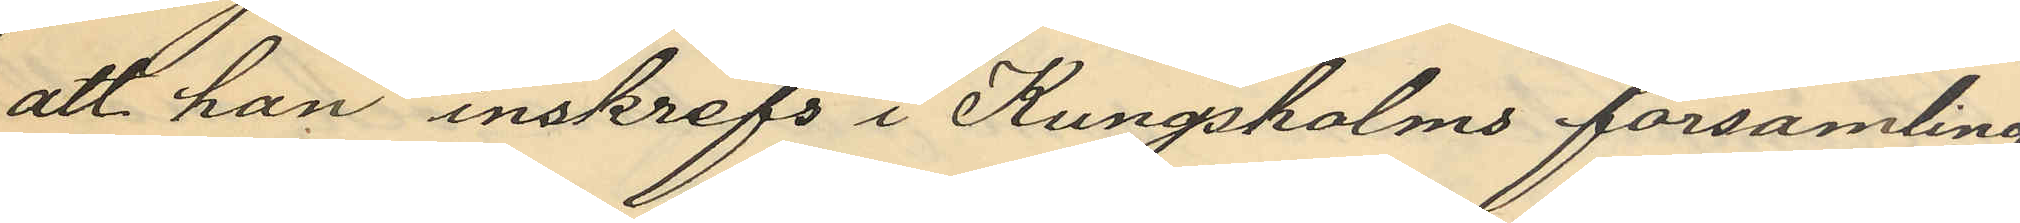att han inskrefs i Kungsholms församling
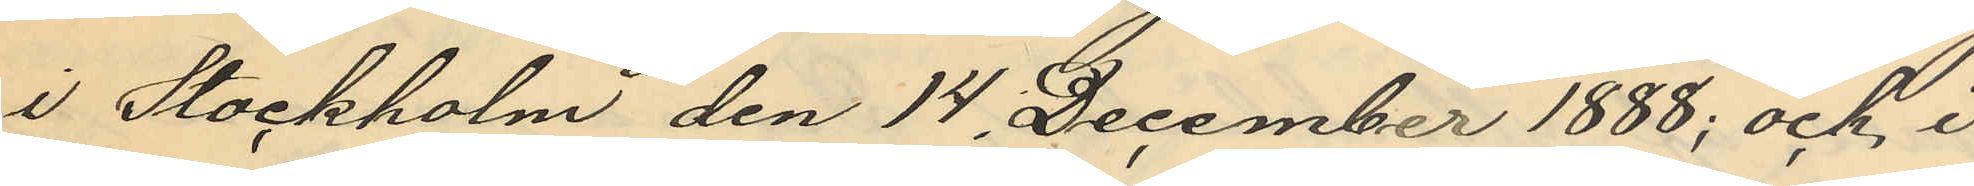i Stockholm den 14 December 1888; och i
